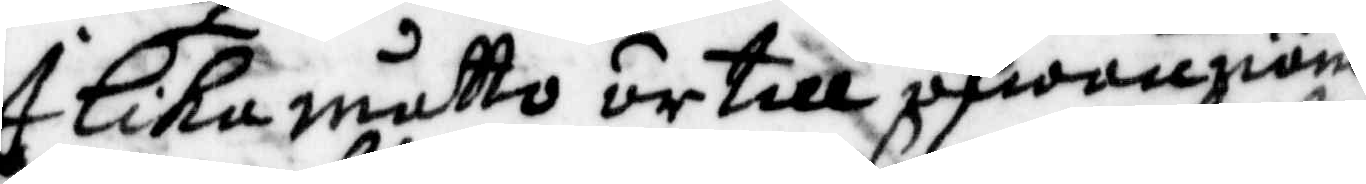I Lika måtto är till åfwannäm¬
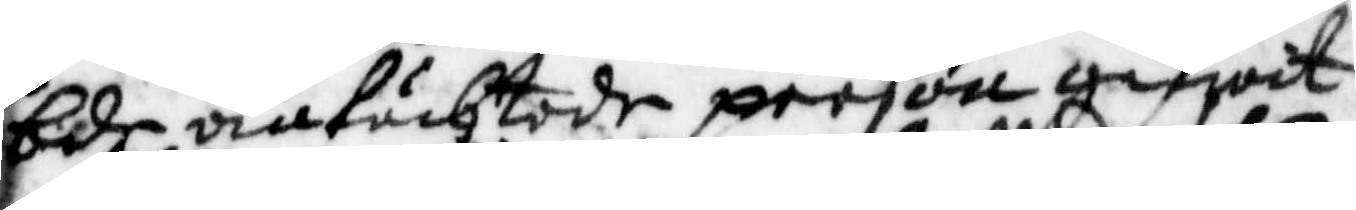bde anfächtade person gifwit
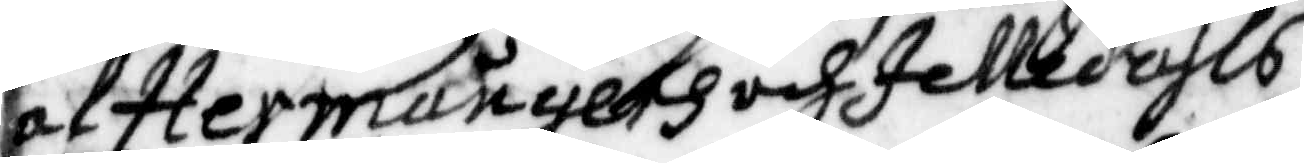af Hermångers och Ielledals
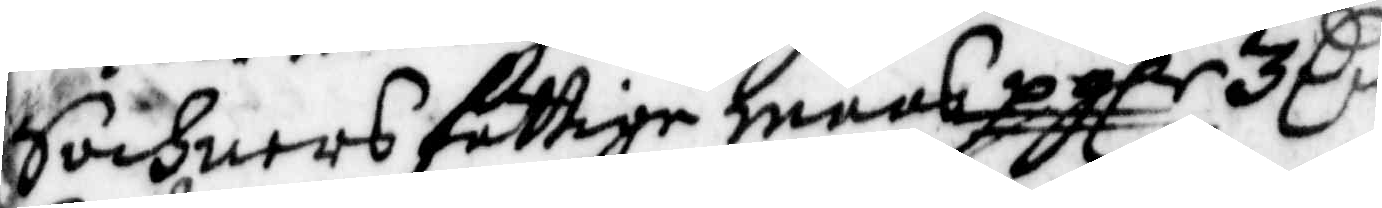Sochmers fattige mansp. glr 3 Cr
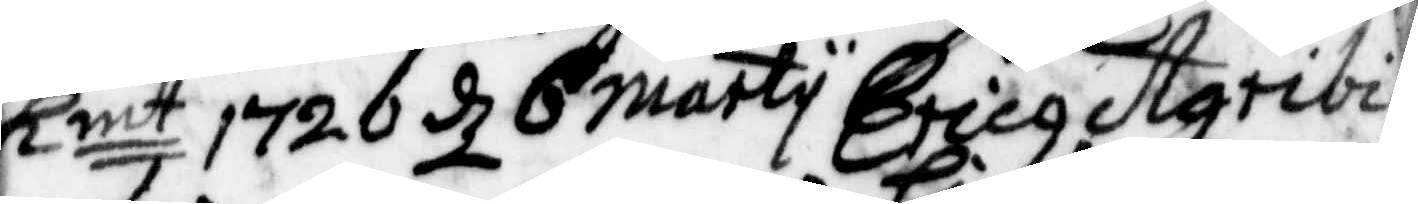Kmt 1720 d 6 marty Erich Agribi¬
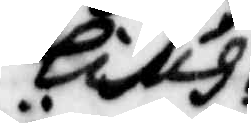lius
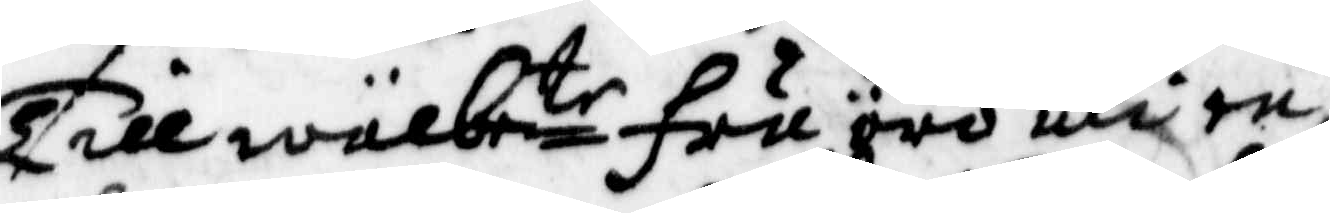Till wälbete fru äro uti en
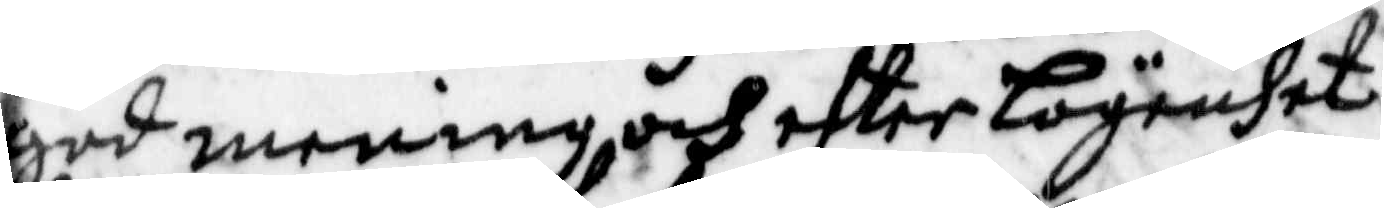god mening och efter lägenhet
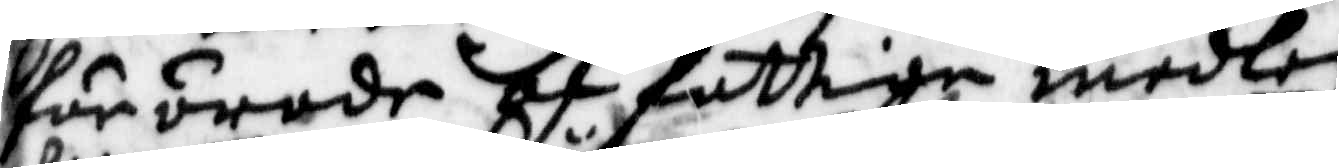för ärade af fattige medlen
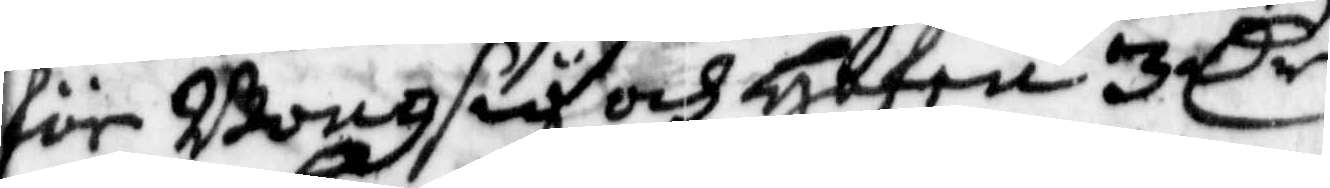för Bongsiö och Hafen 3 Cr
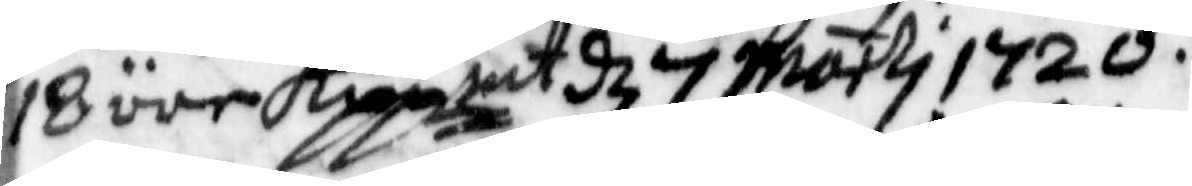18 öre Koppmt d 7 marti 1720.
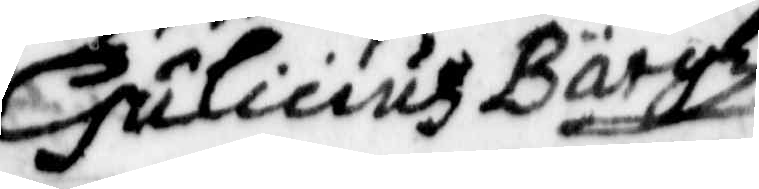Huliciuz Bärgh
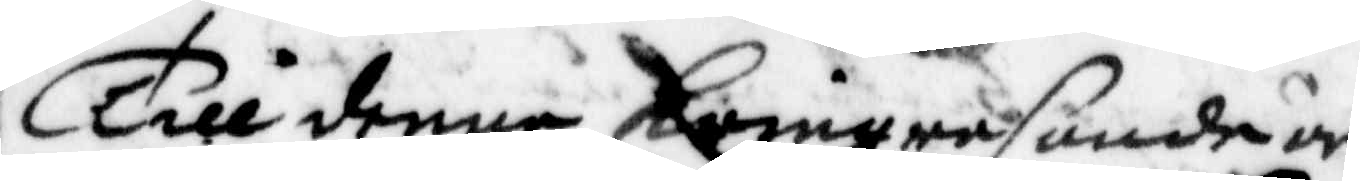Till denne kringresande är
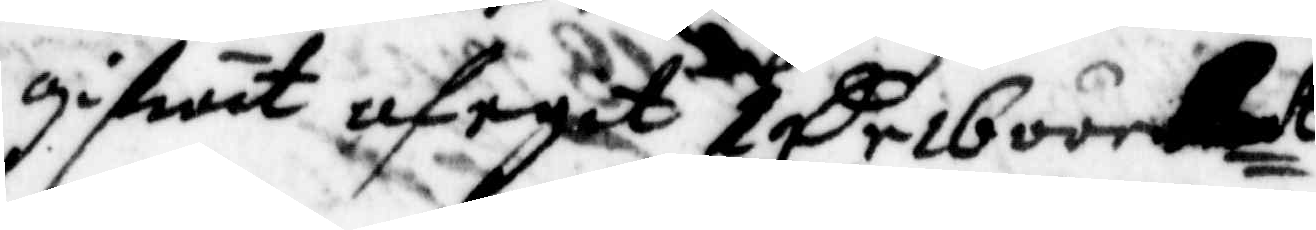gifwit af eget 1 Cr 16 öre Kmt
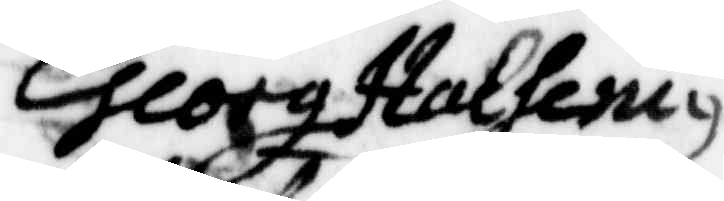eorge Halseniu
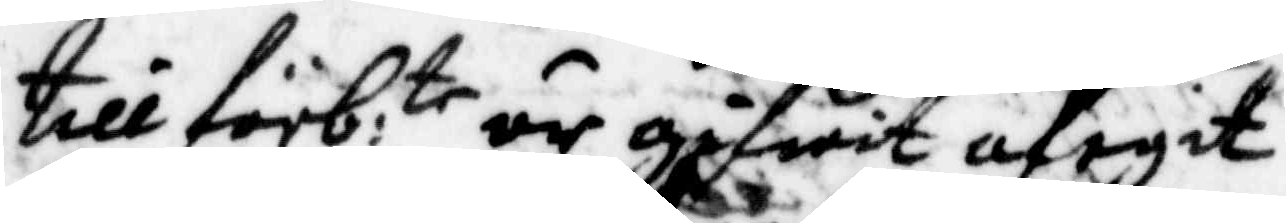till förb:te är gifwit af egit
